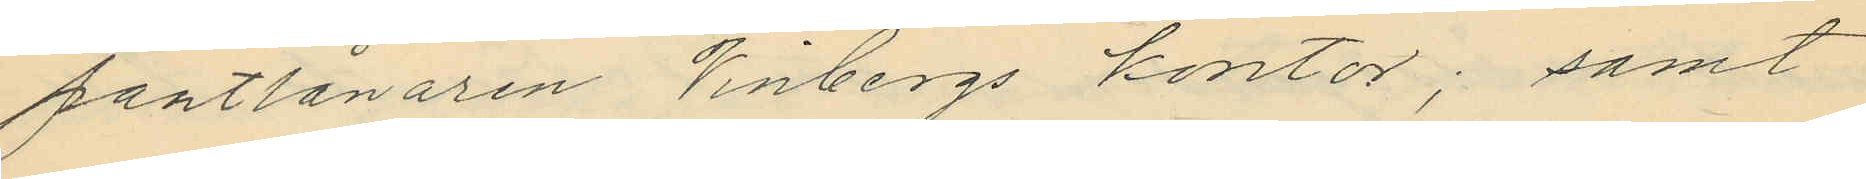pantlånaren Vinbergs kontor; samt
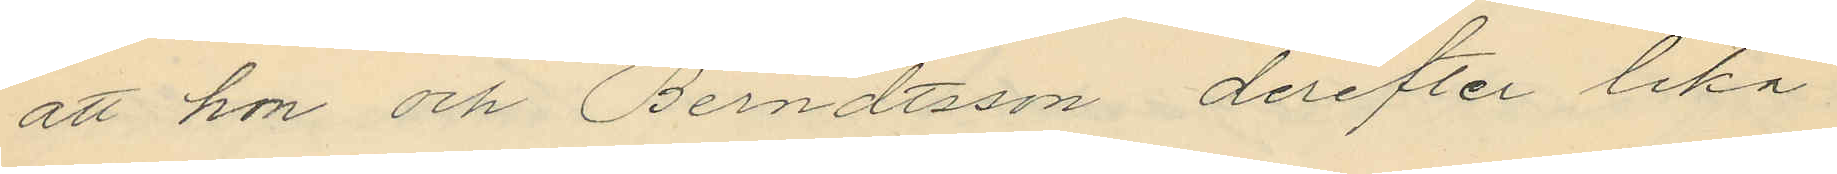att hon och Berndtsson derefter lika
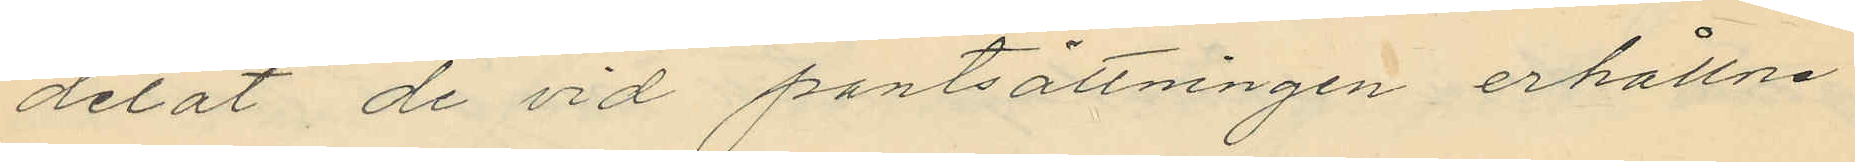delat de vid pantsättningen erhållne
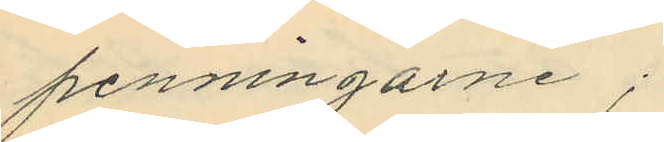penningarne;
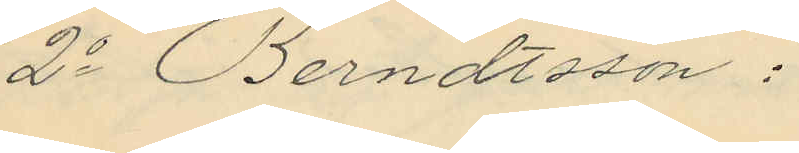2o Berndtsson:
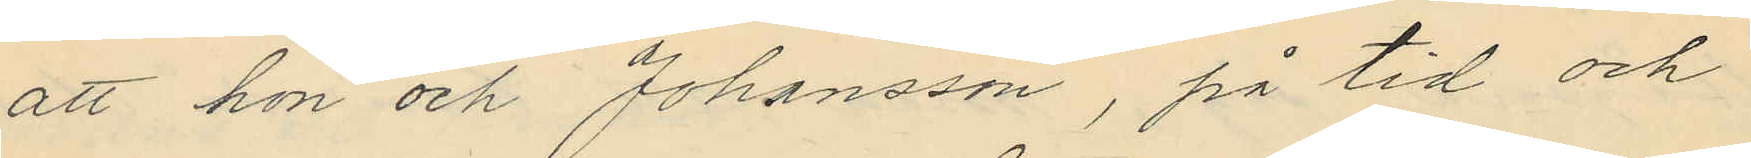att hon och Johansson, på tid och
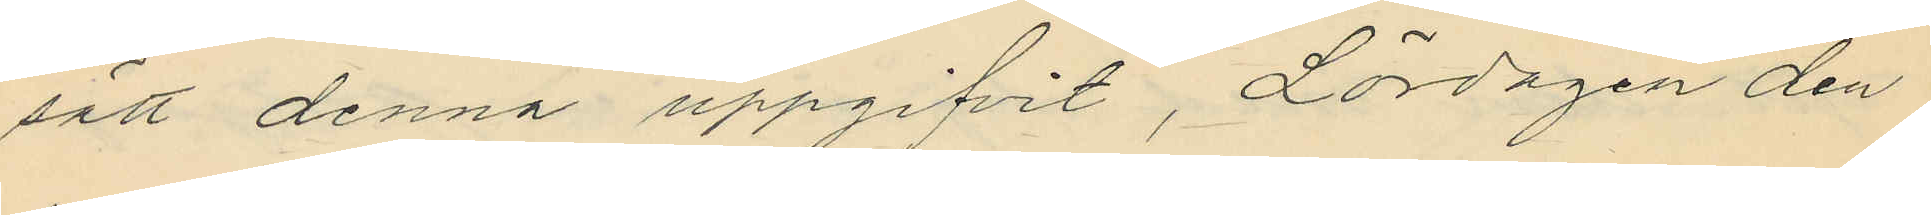sätt denna uppgifvit, Lördagen den
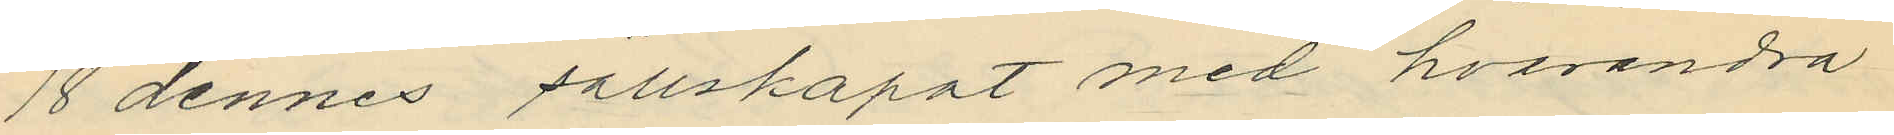18 dennes sällskapat med hvarandra
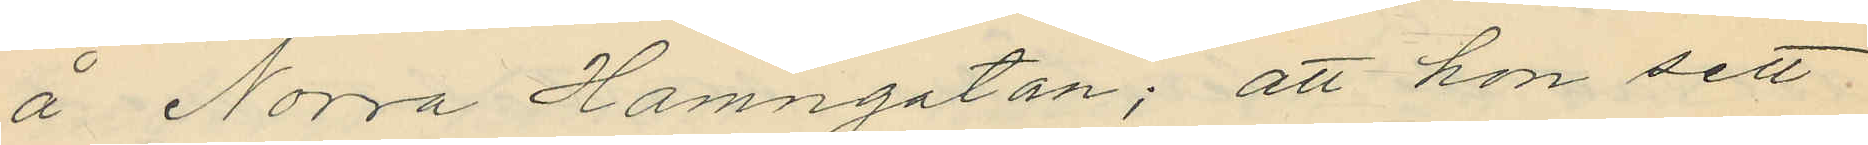å Norra Hamngatan; att hon sett
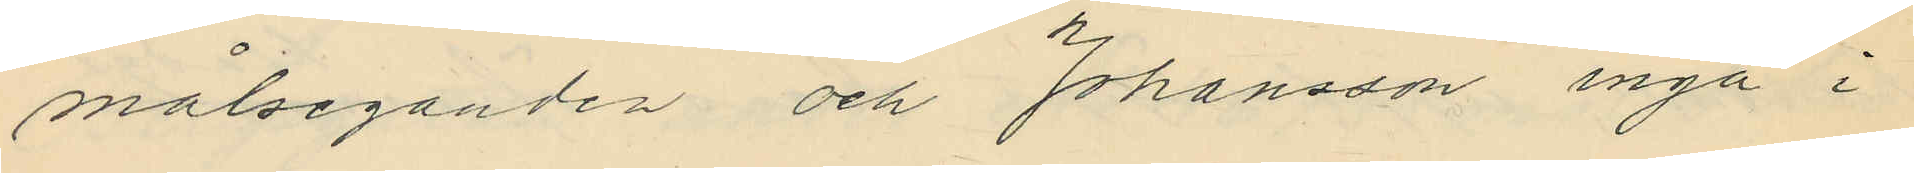målseganden och Johansson ingå i
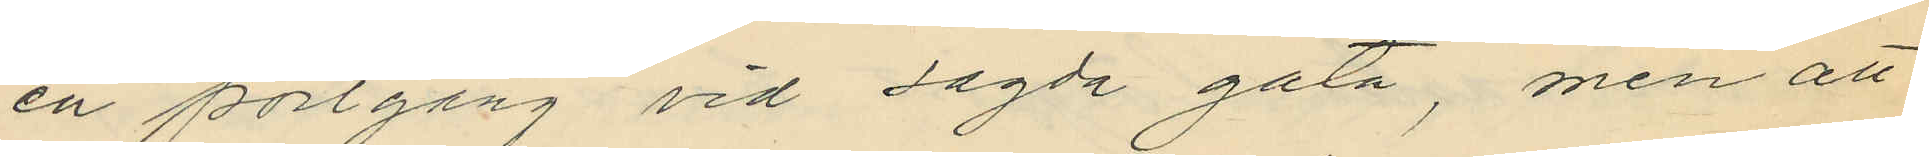en portgång vid sagda gata, men att
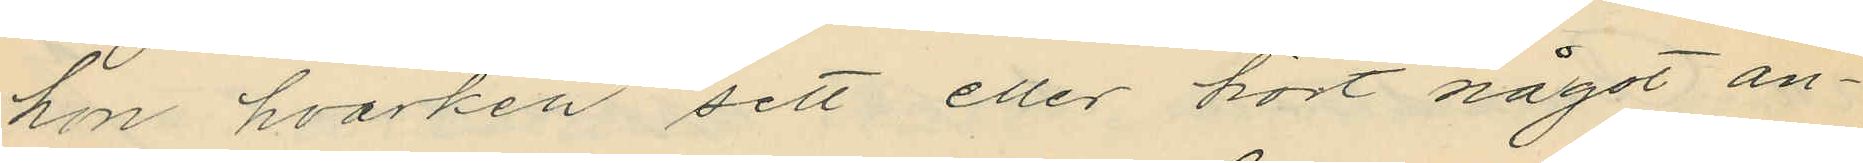hon hvarken sett eller hört något an¬
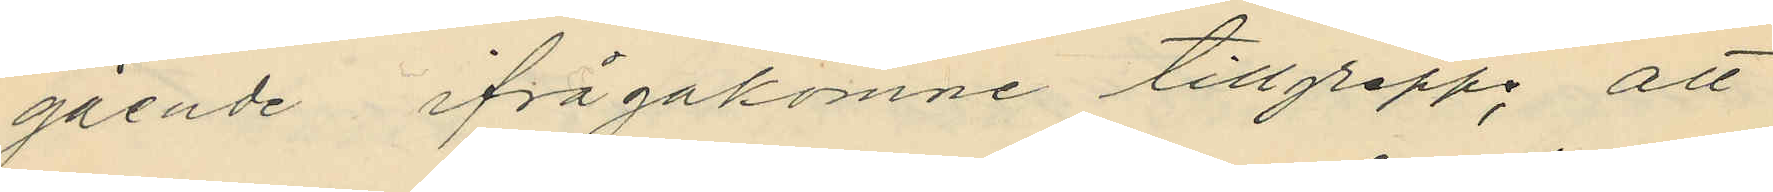gående ifrågakomne tillgrepp; att
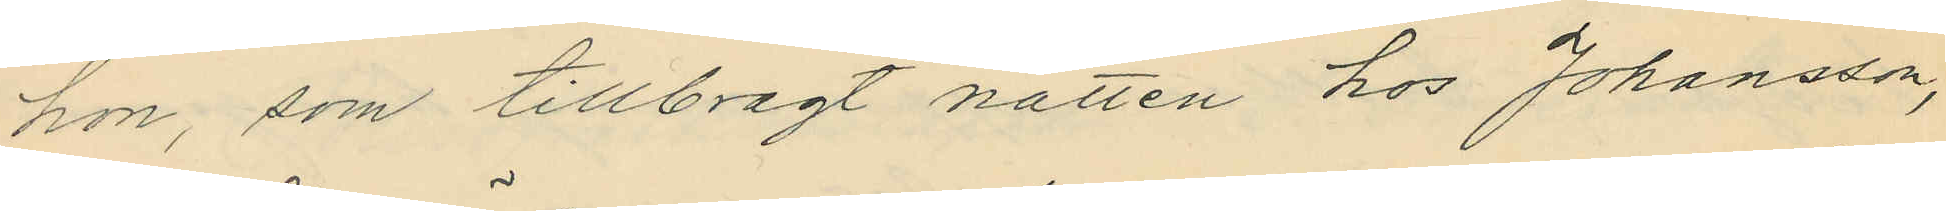hon, som tillbragt natten hos Johansson,
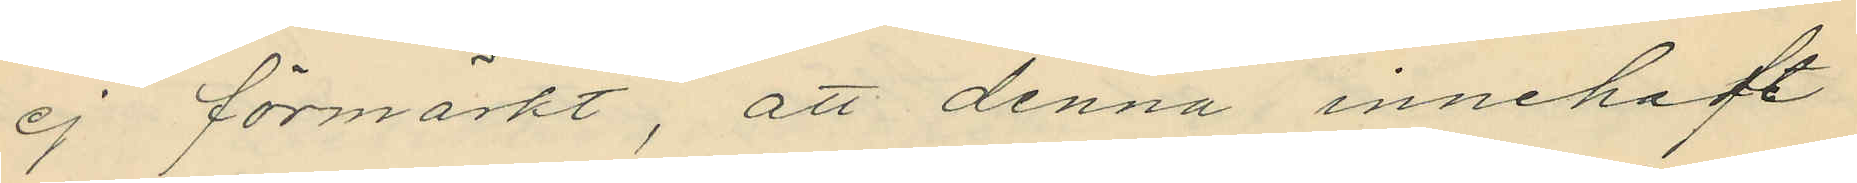ej förmärkt, att denna innehaft
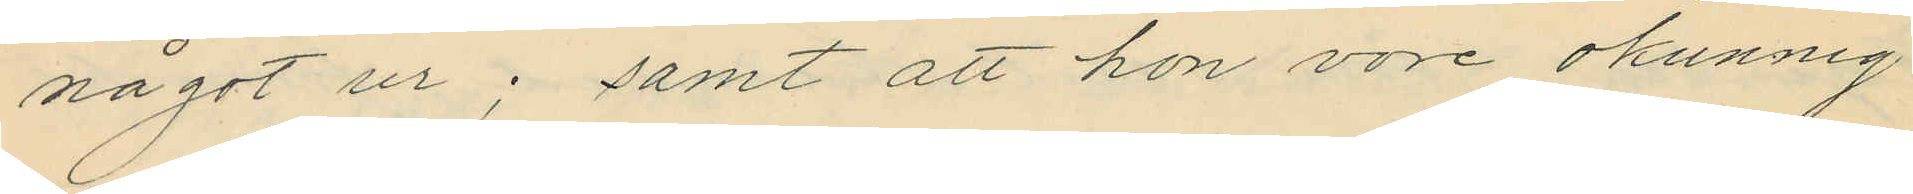något ur; samt att hon vore okunnig
